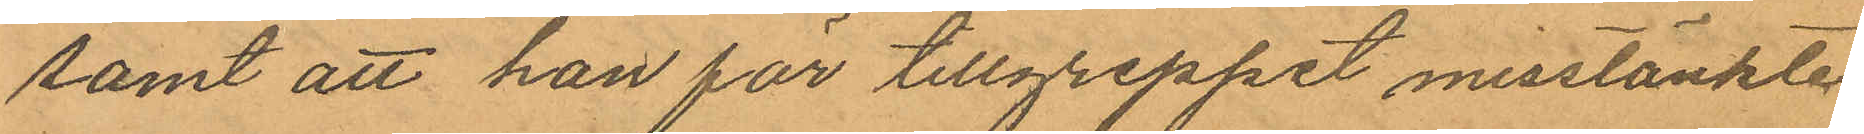samt att han för tillgreppet misstänkte
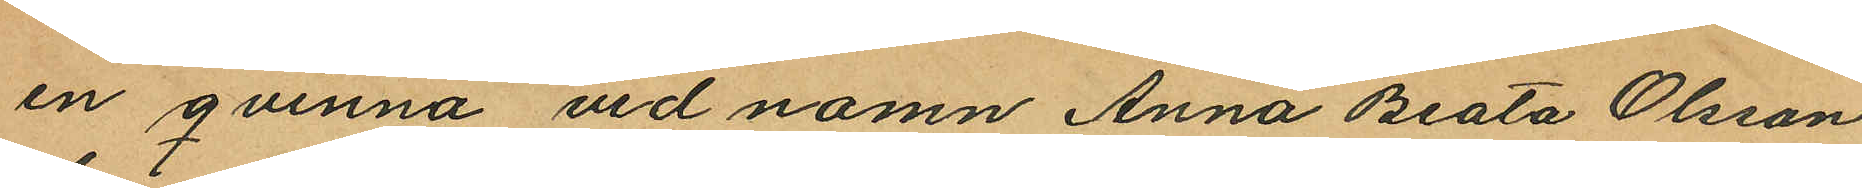en qvinna vid namn Anna Beata Olsson
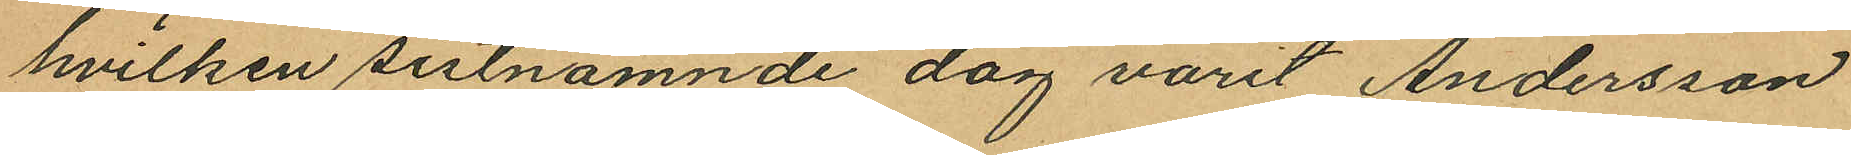hvilken sistnämnde dag varit Andersson
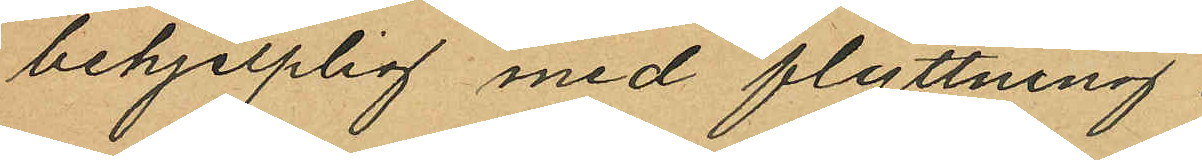behjelplig med flyttning.
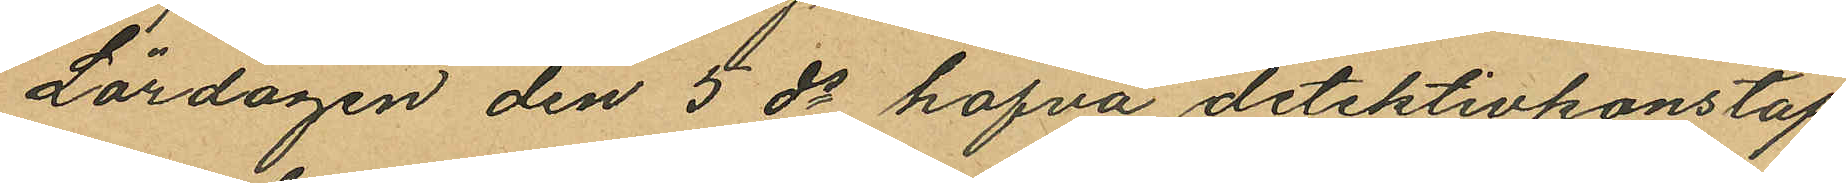Lördagen den 5 ds hafva detektivkonstap¬
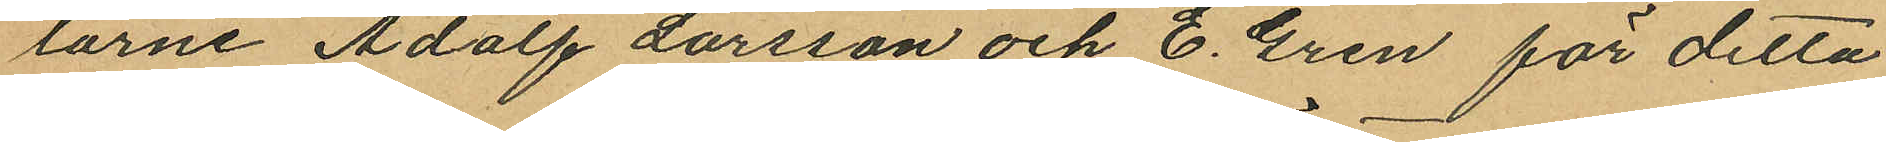larne Adolf Larsson och E. Gren för detta
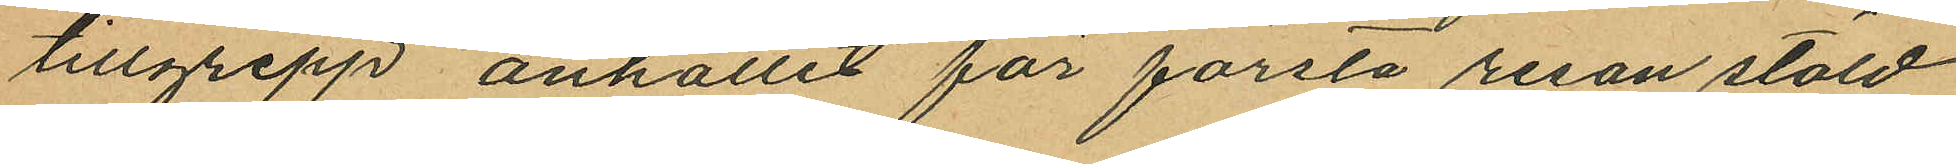tillgrepp anhållit för första resan stöld
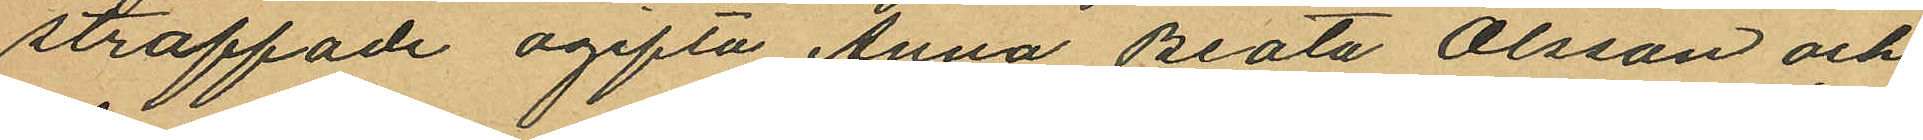straffade ogifta Anna Beata Olsson och
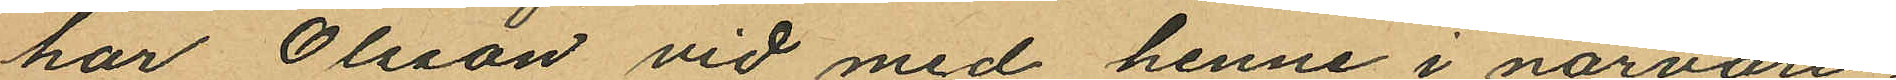har Olsson vid med henne i närvaro
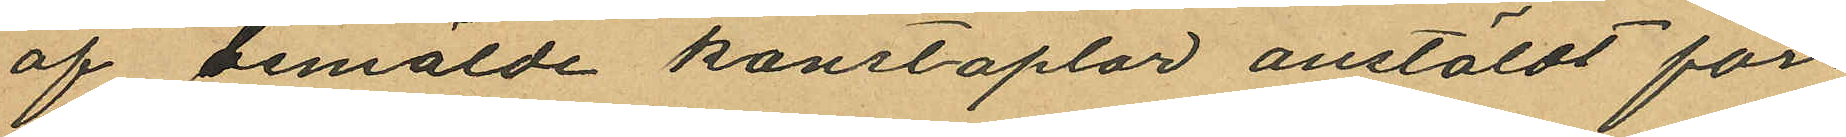af bemälde konstaplar anstäldt för¬
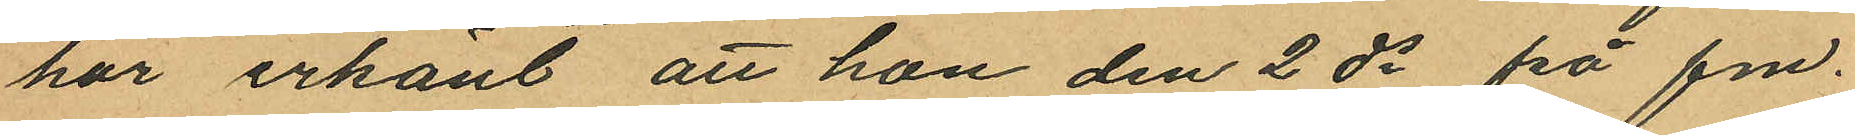hör erkänt att hon den 2 ds på fm
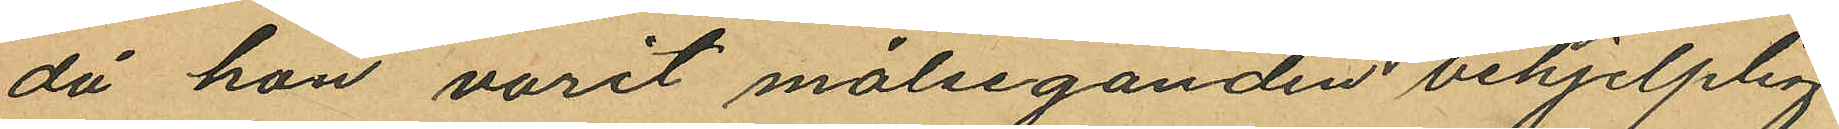då hon varit målseganden behjelplig
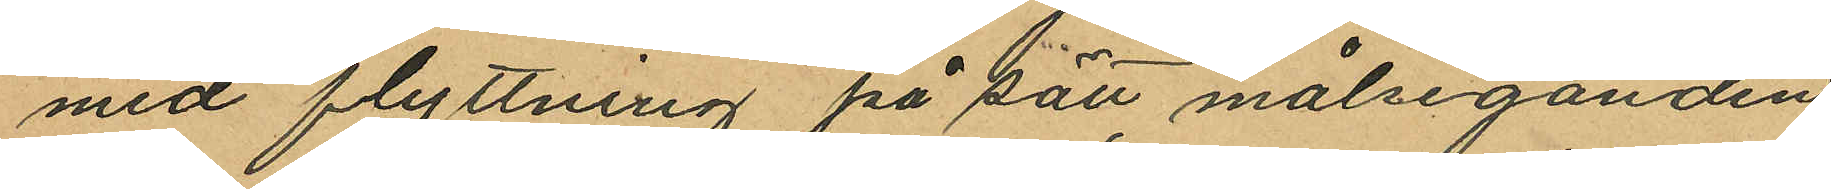med flyttning på sätt målseganden
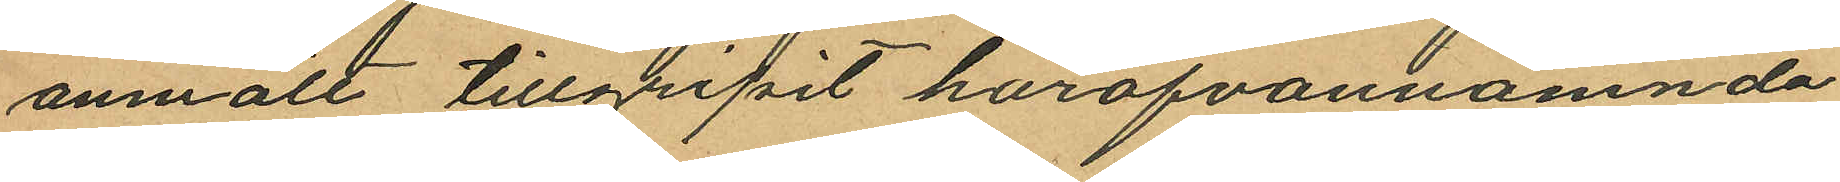anmält tillgripit härofvannämnda
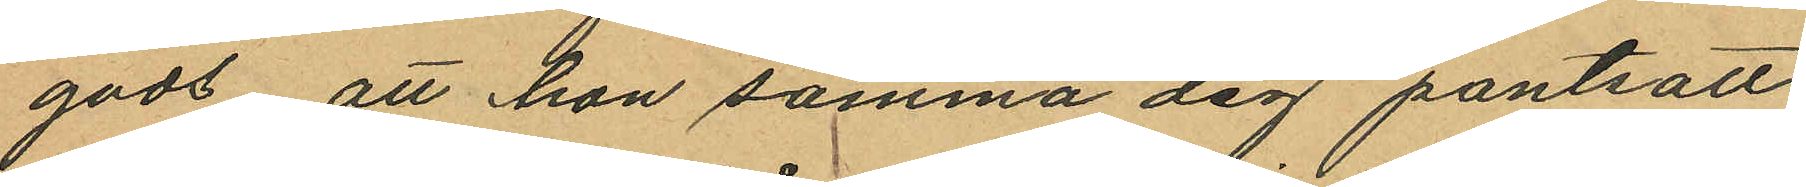gods att hon samma dag pantsatt
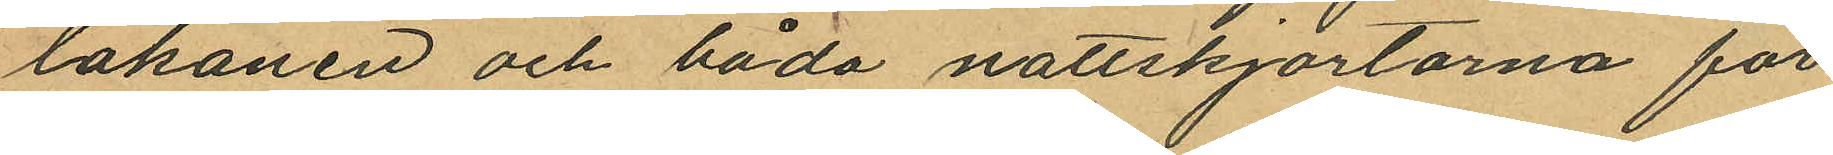lakanen och båda nattskjortorna för
